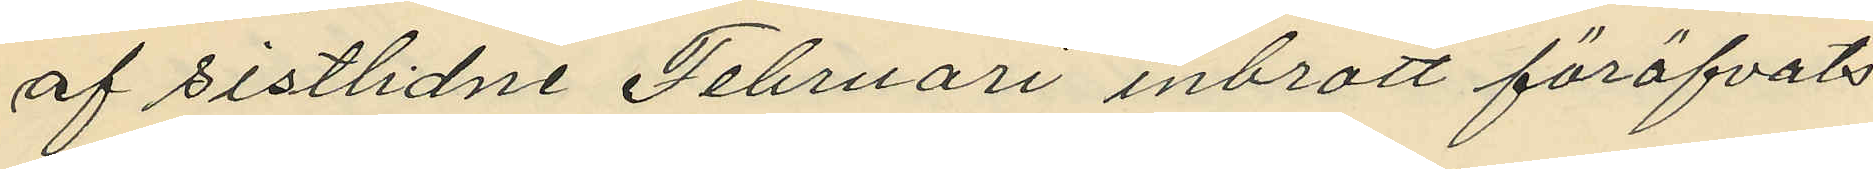af sistlidne Februari inbrott föröfvats
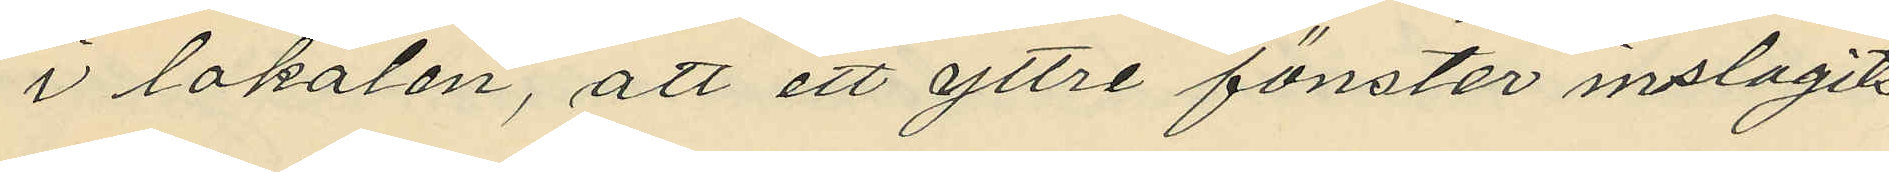i lokalen, att ett yttre fönster inslagits
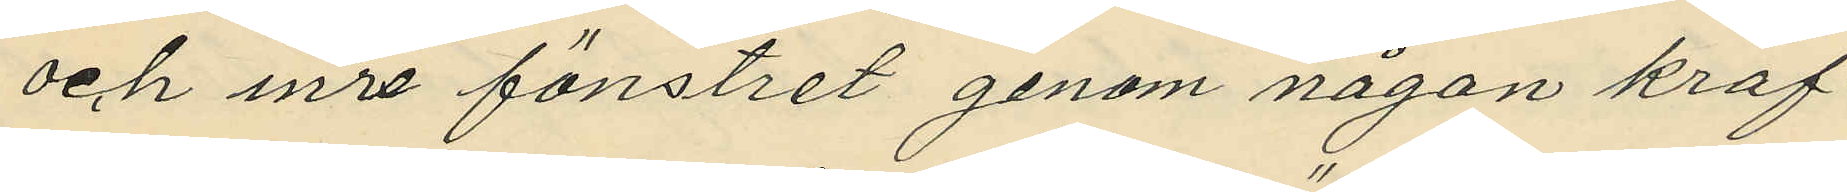och inre fönstret genom någon kraf¬
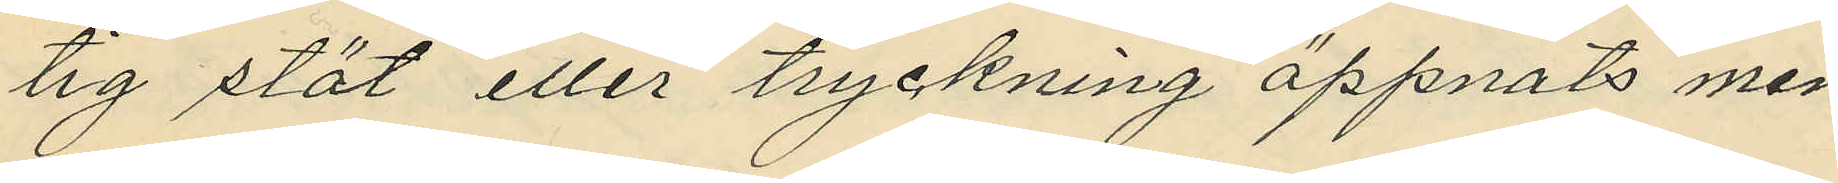tig stöt eller tryckning öppnats men
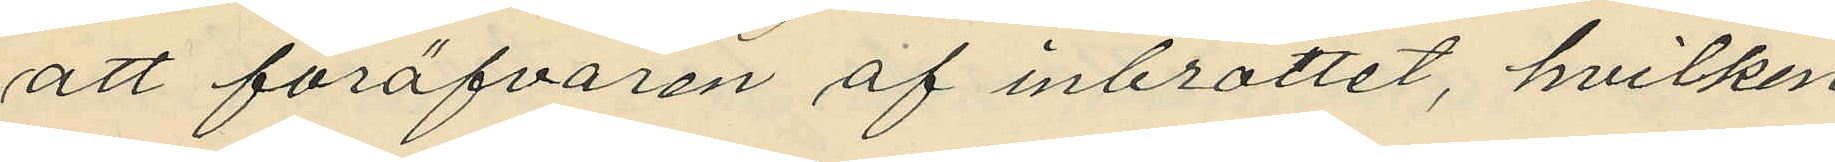att föröfvaren af inbrottet, hvilken
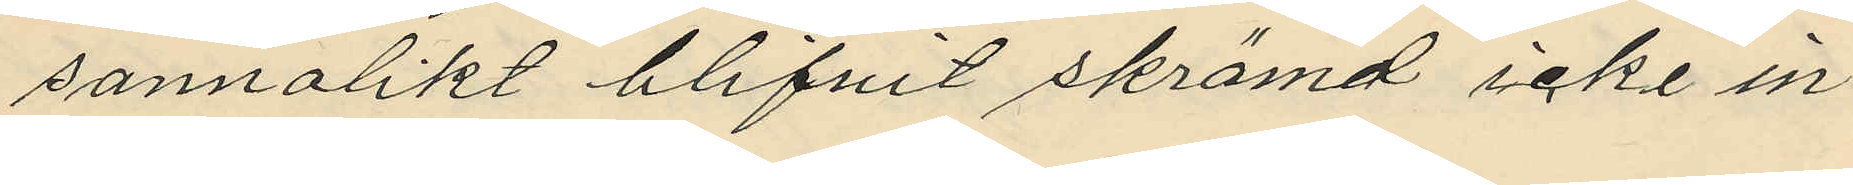sannolikt blifvit skrämd icke in¬
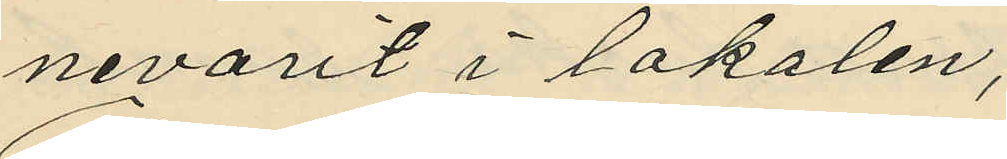nevarit i lokalen;
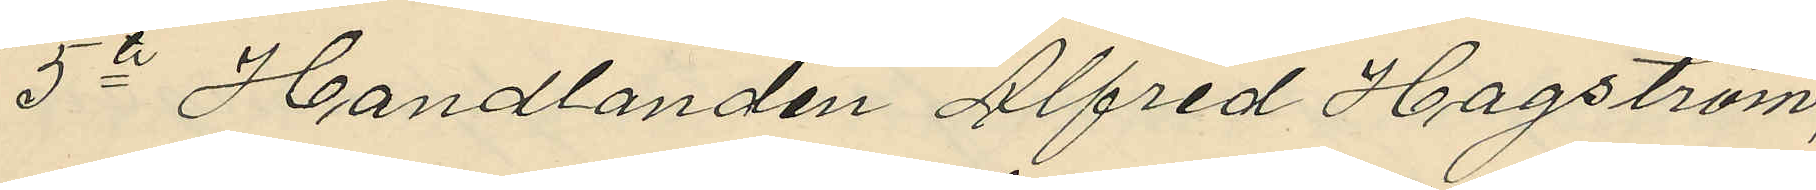5te Handlanden Alfred Hagström,
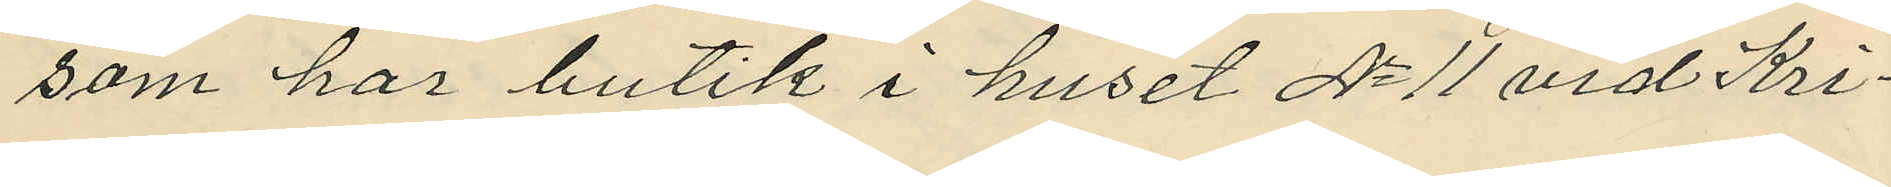som har butik i huset No 11 vid Kri¬
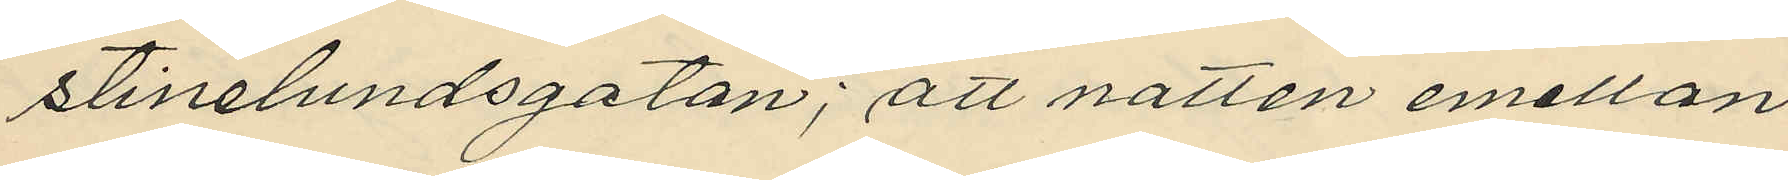stinelundsgatan, att natten emellan
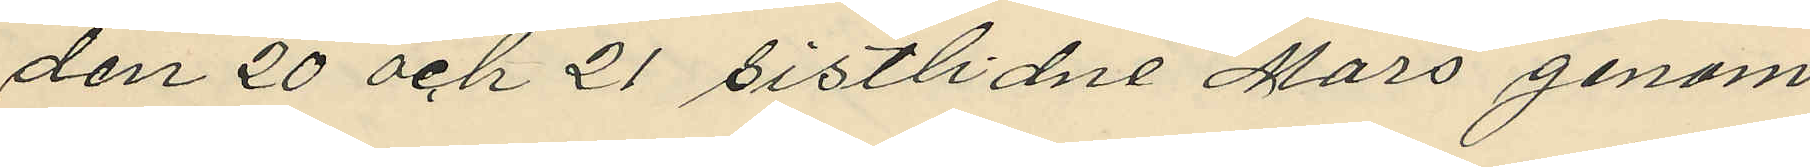den 20 och 21 sistlidne Mars genom
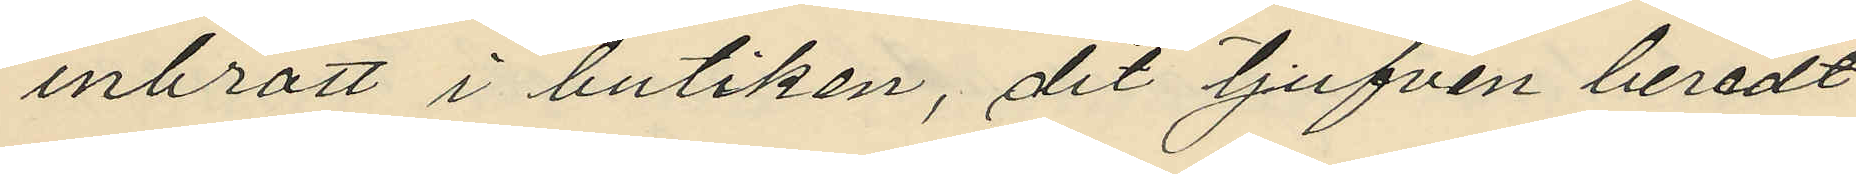inbrott i butiken, dit tjufven beredt
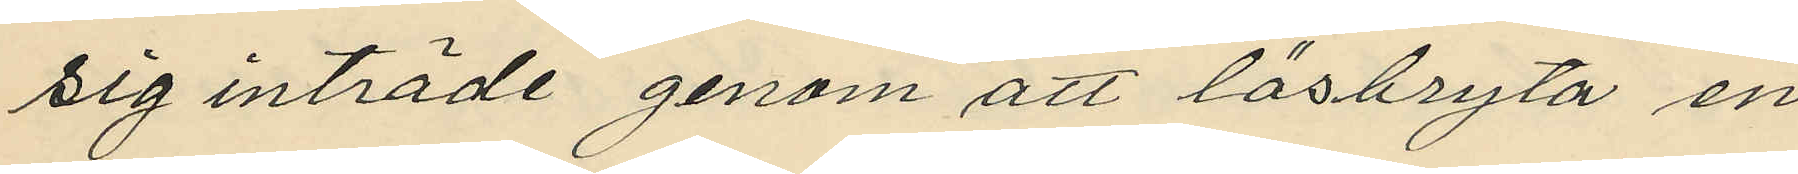sig inträde genom att lösbryta en
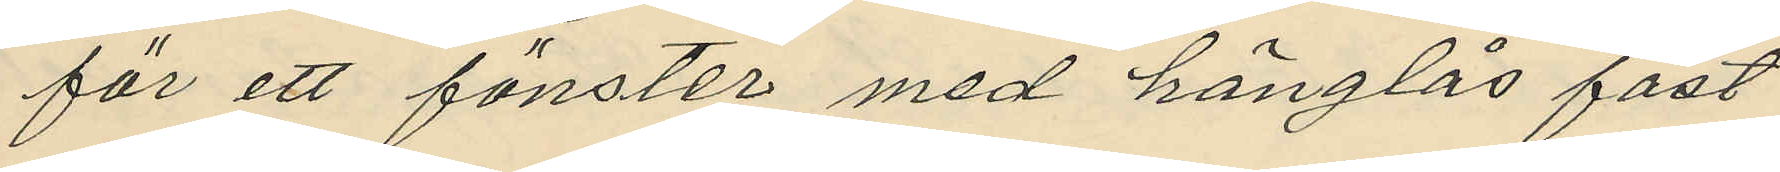för ett fönster med hänglås fast¬
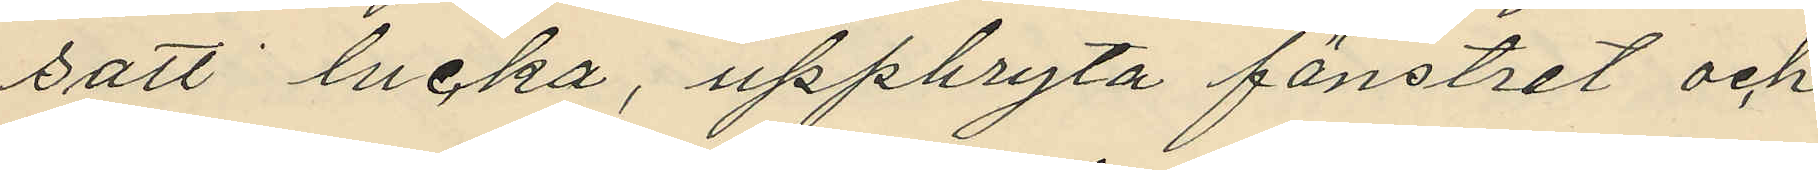satt lucka, uppbryta fönstret och
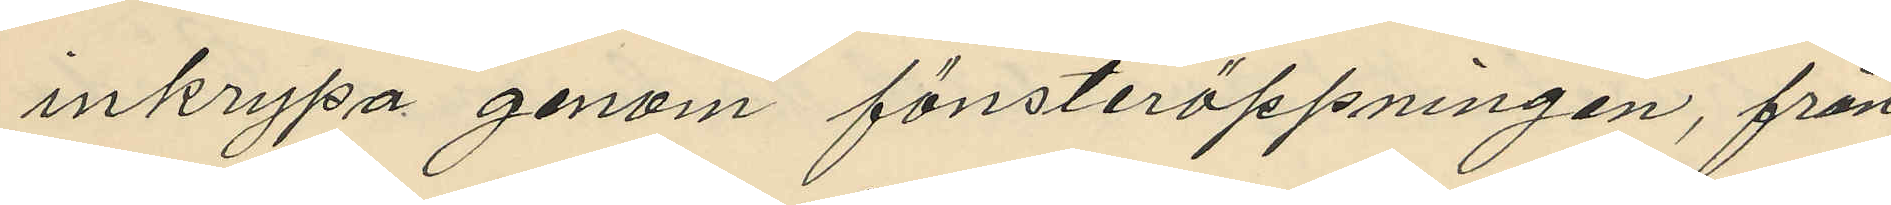inkrypa genom fönsteröppningen, från
